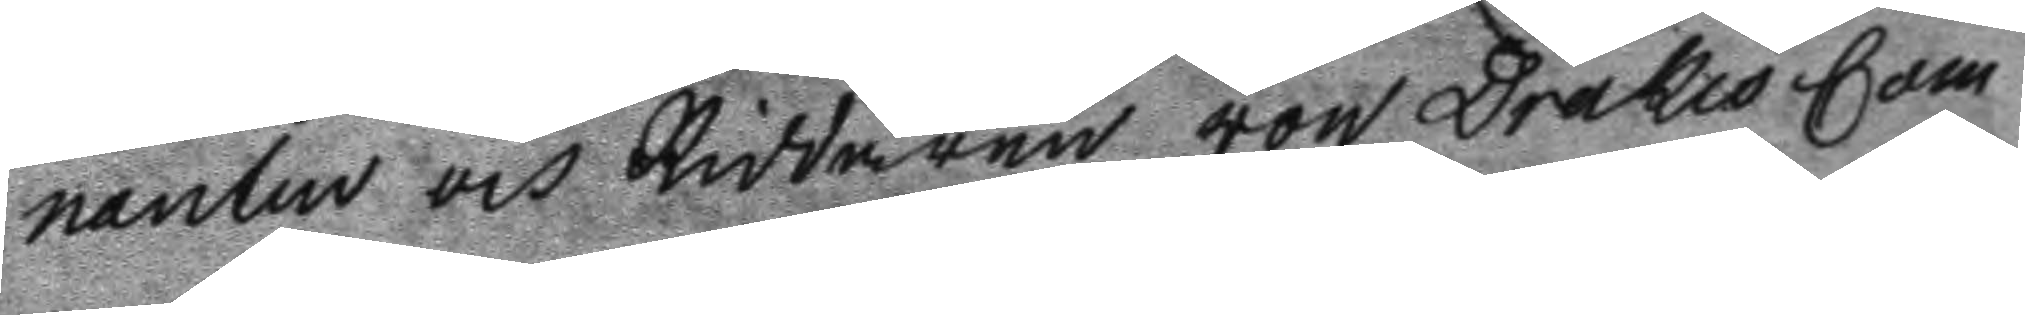nanten och Riddaren von Drakes Com
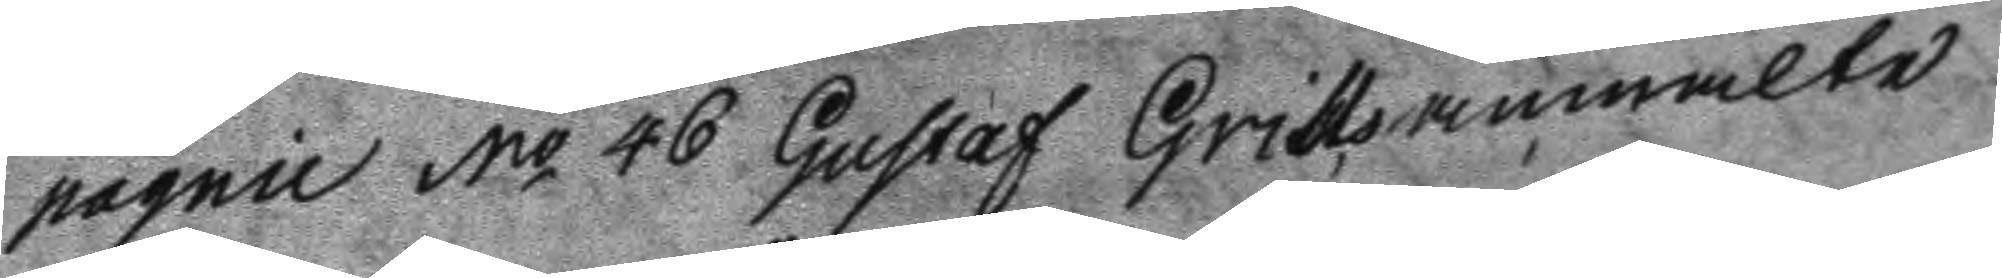pagnie No 46 Gustaf Grills anmälte
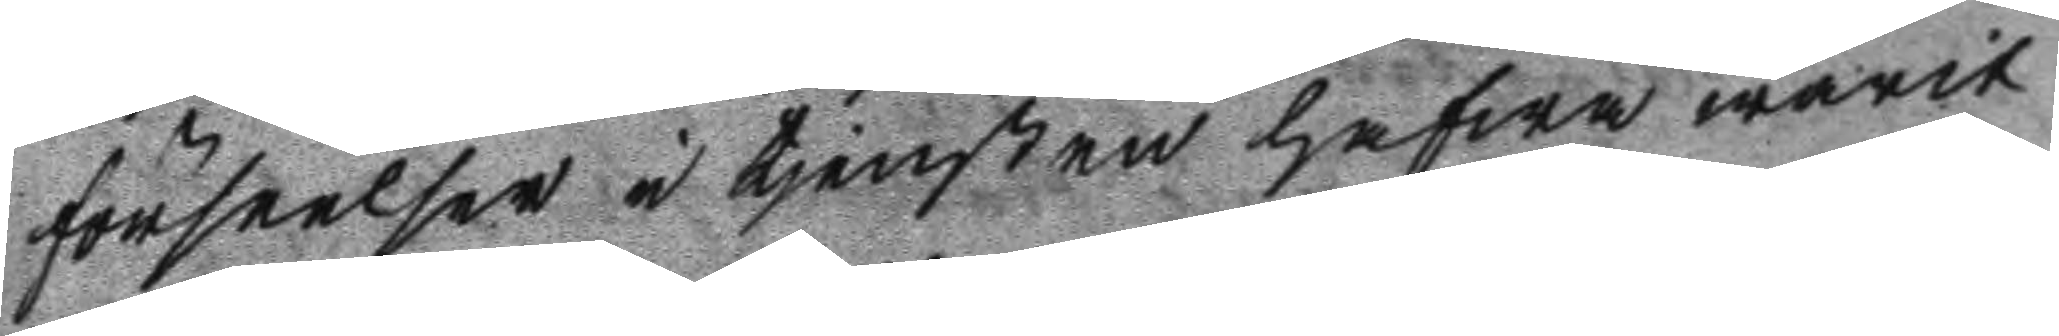förseelser i tjensten hafwa warit
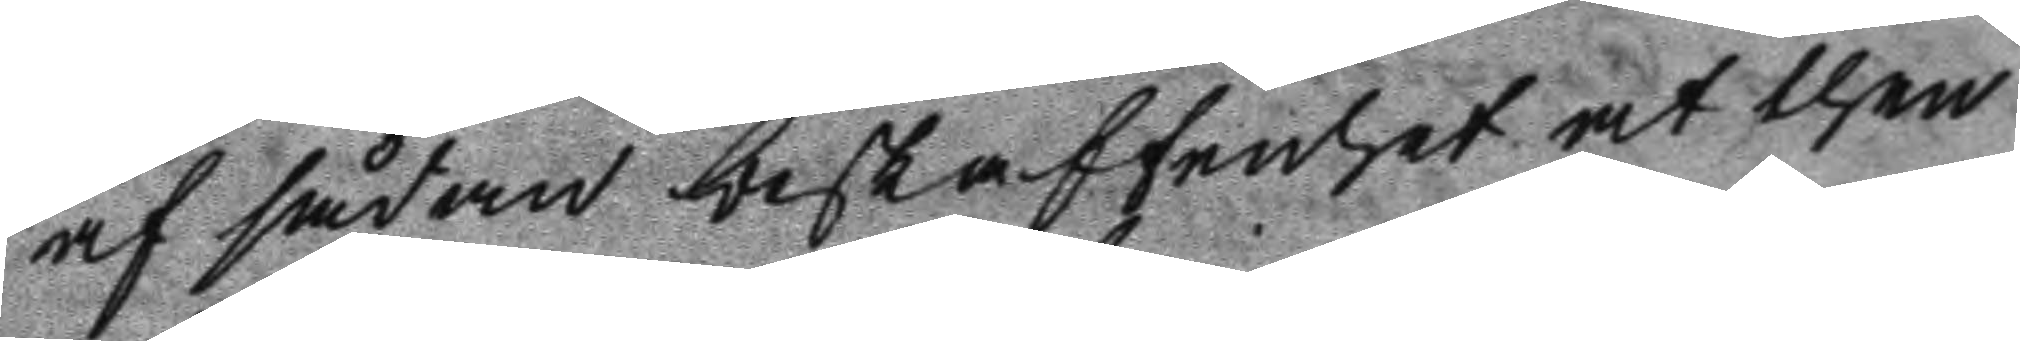af sådan beskaffenhet at then
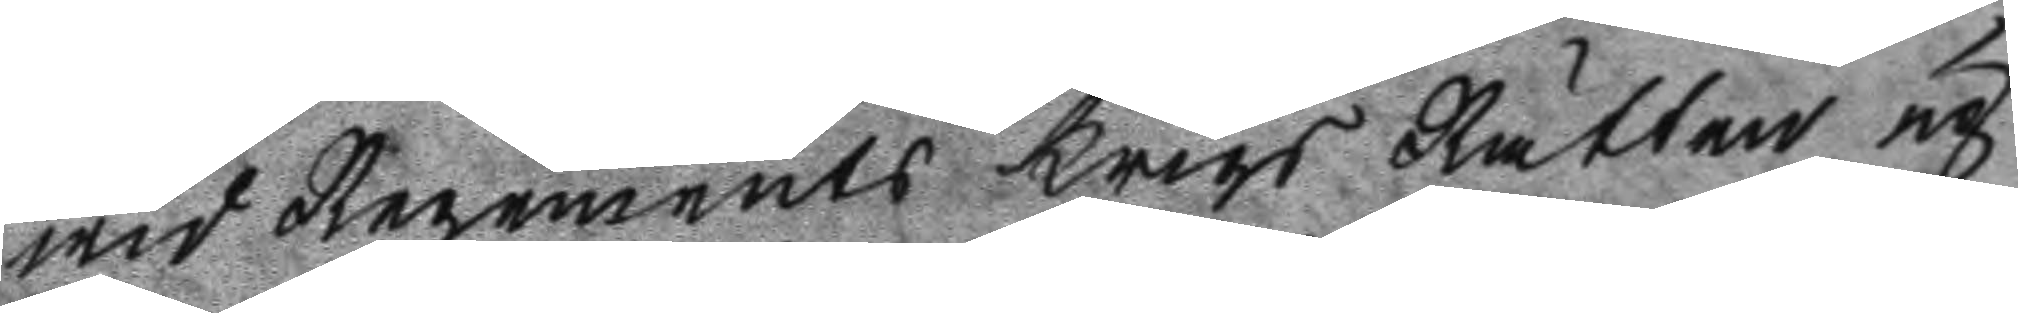wid Regements Krigs Rätten up
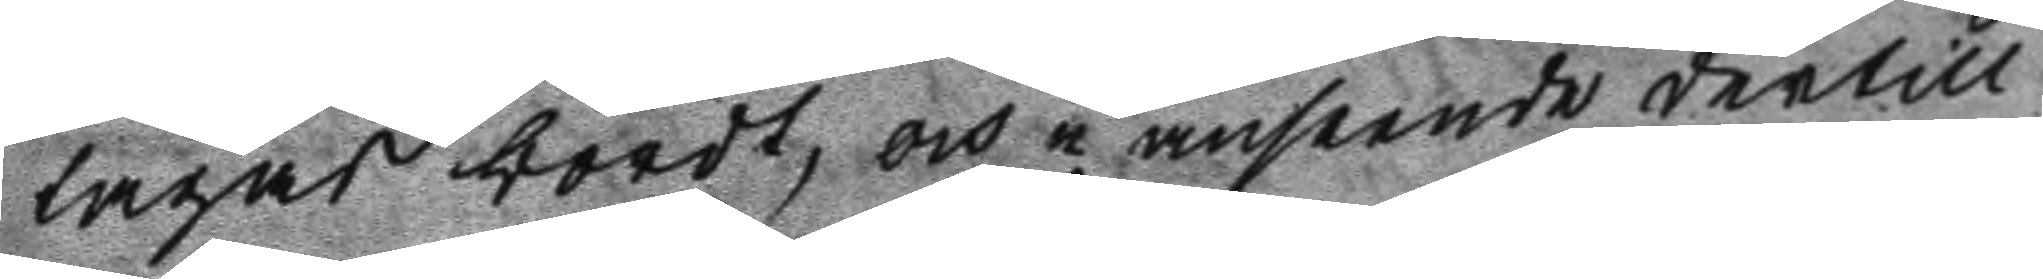tagas bordt, och i anseende dertill
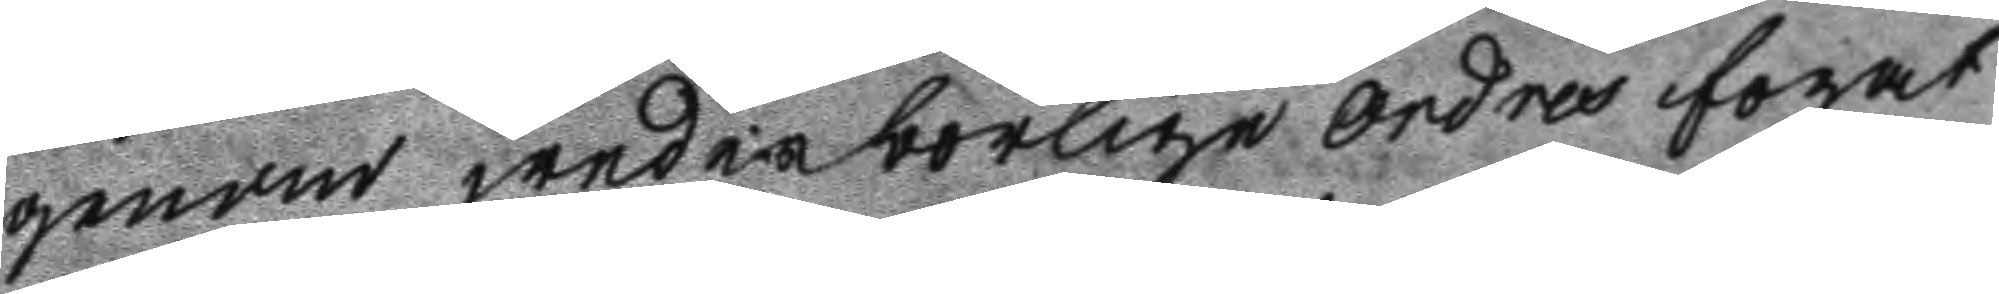genom wederbörlige Ordres fogat
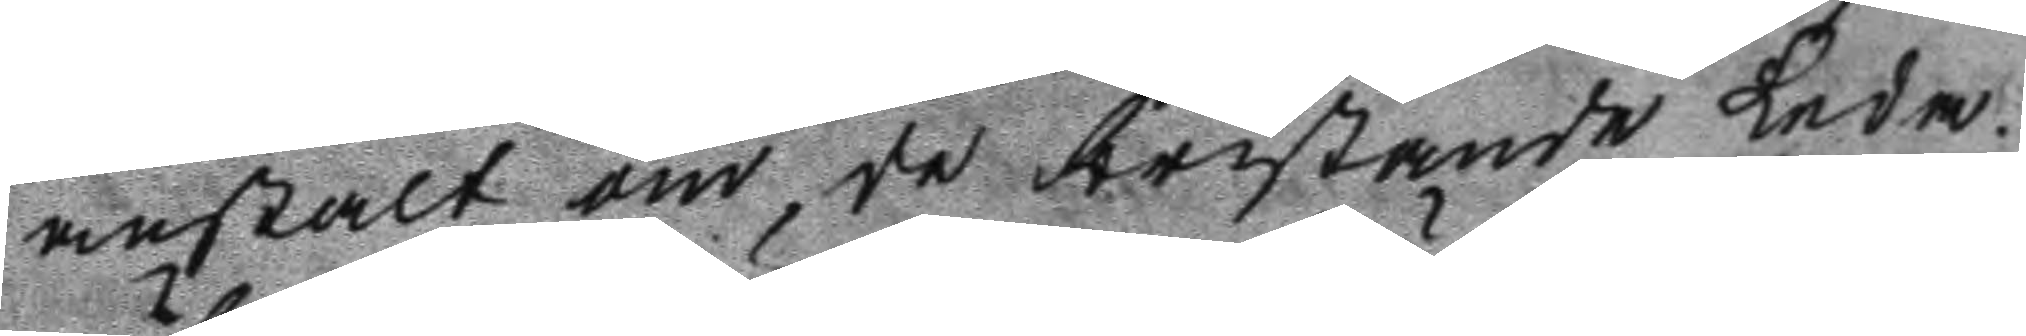anstalt om de bristande Leda
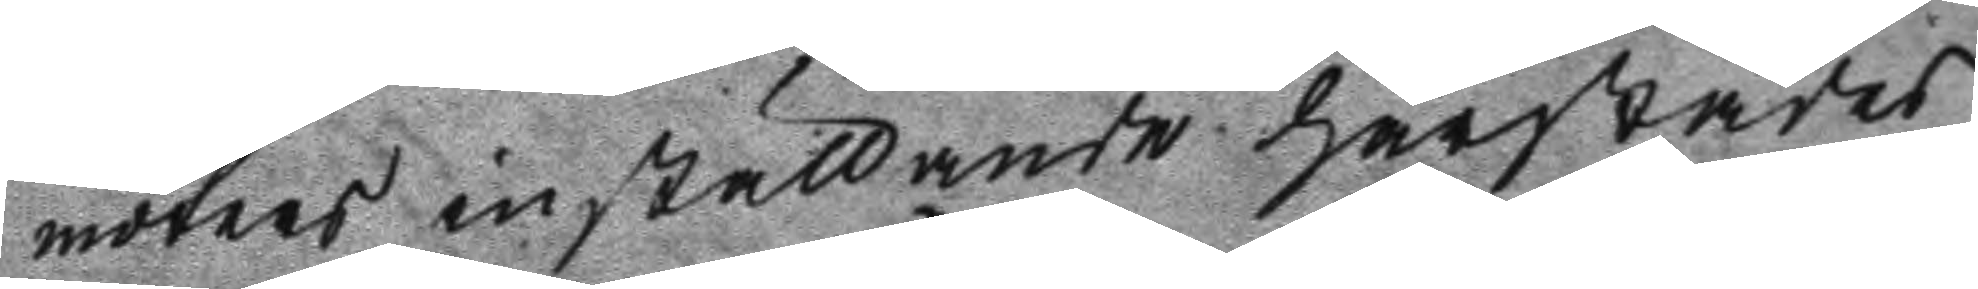möters inställande härstädes
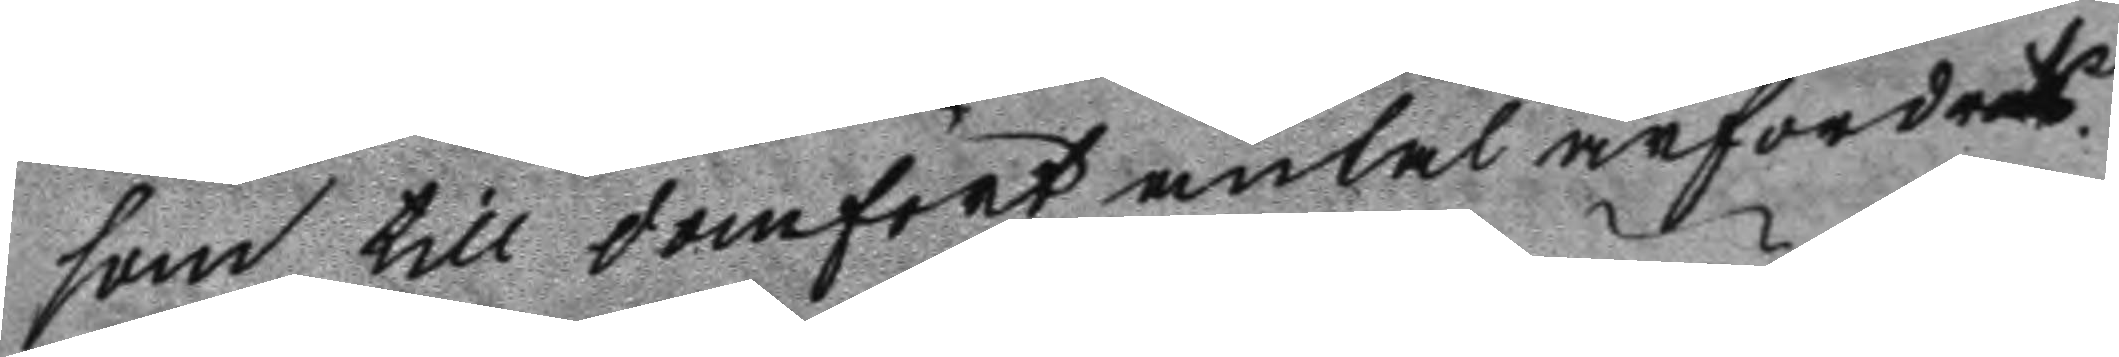som till domfört antal ärfordrats.
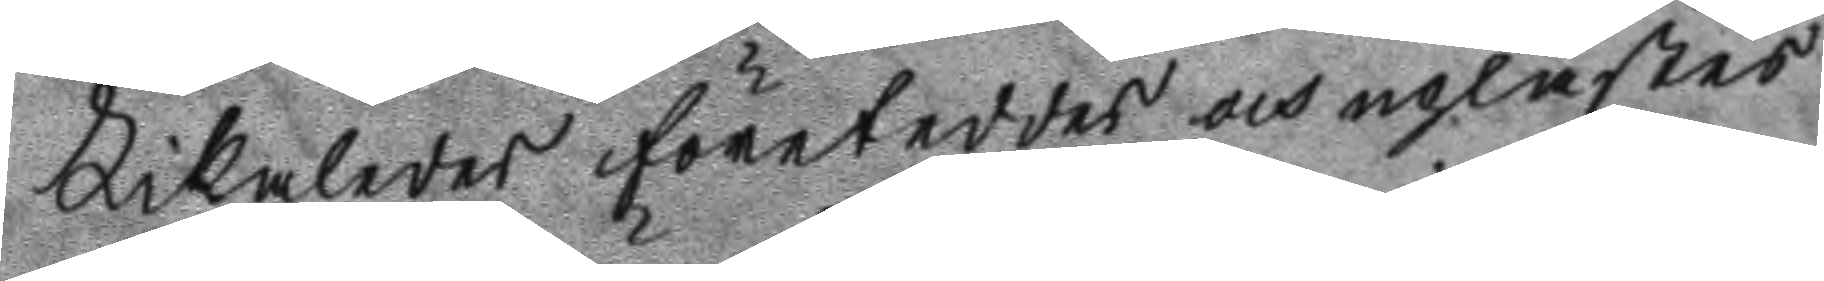Likaledes företeddes och uplästes
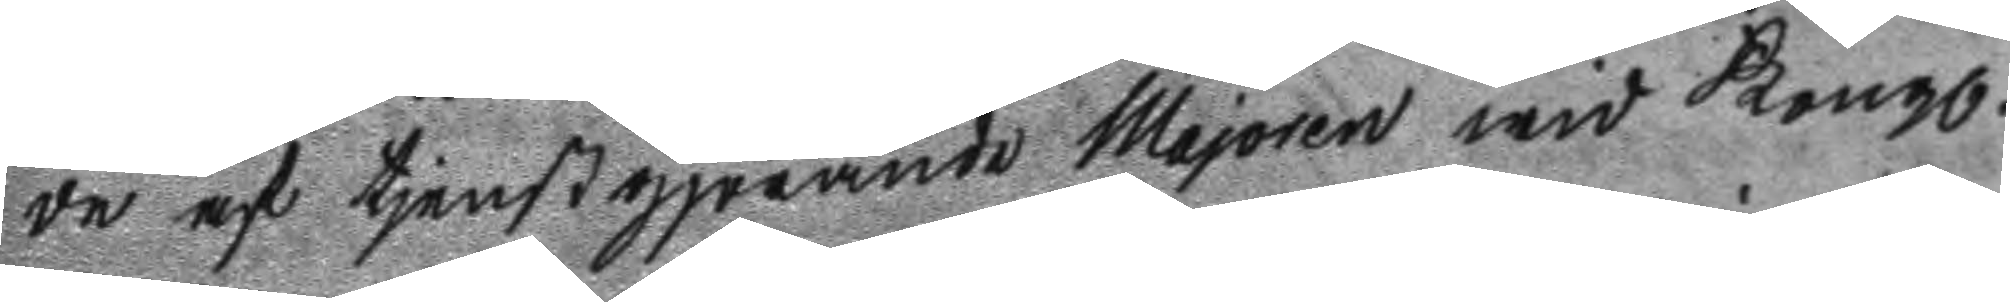de af tjenstgjörande Majoren wid Kongl.
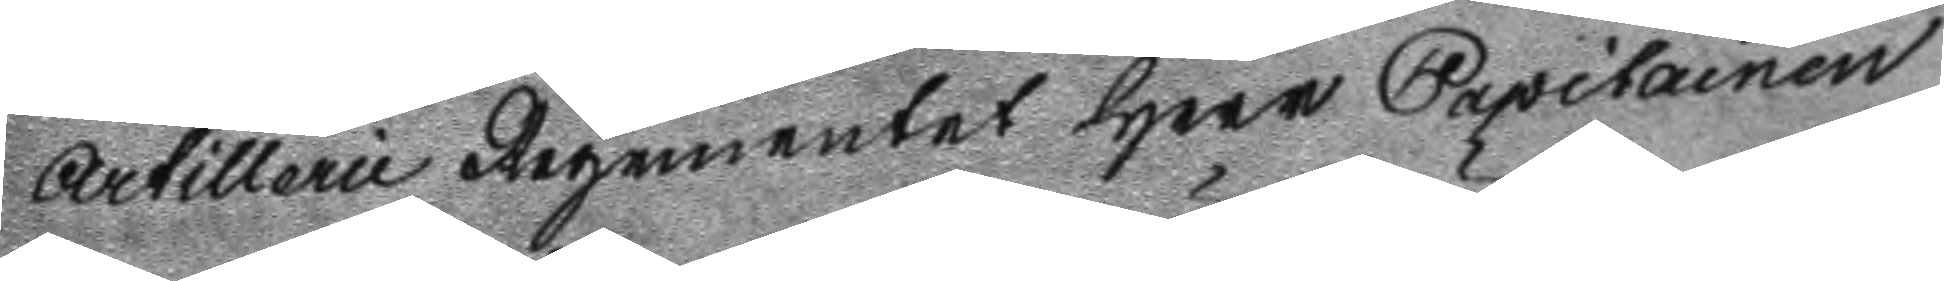Artillerie Regementet Herr Capitainen
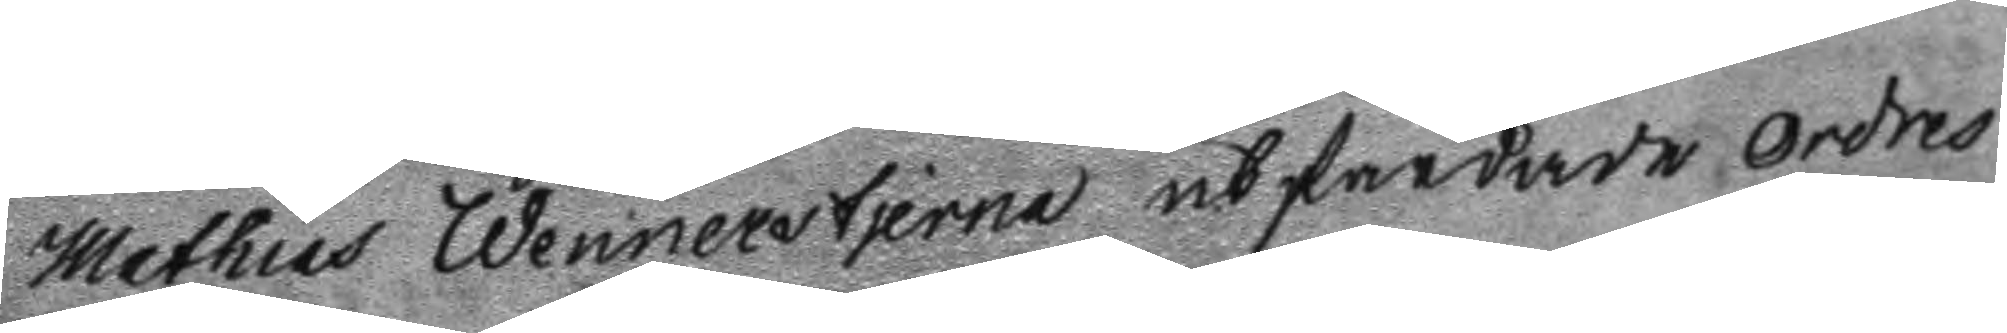Mathias Wennerstjerna utfärdade Ordres
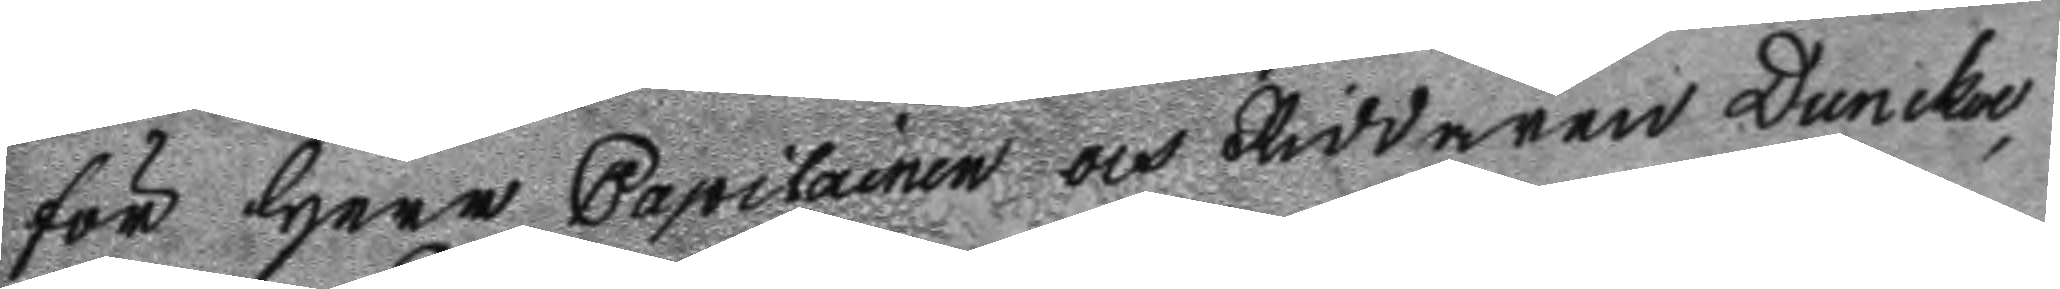för Herr Capitainen och Riddaren Duncker
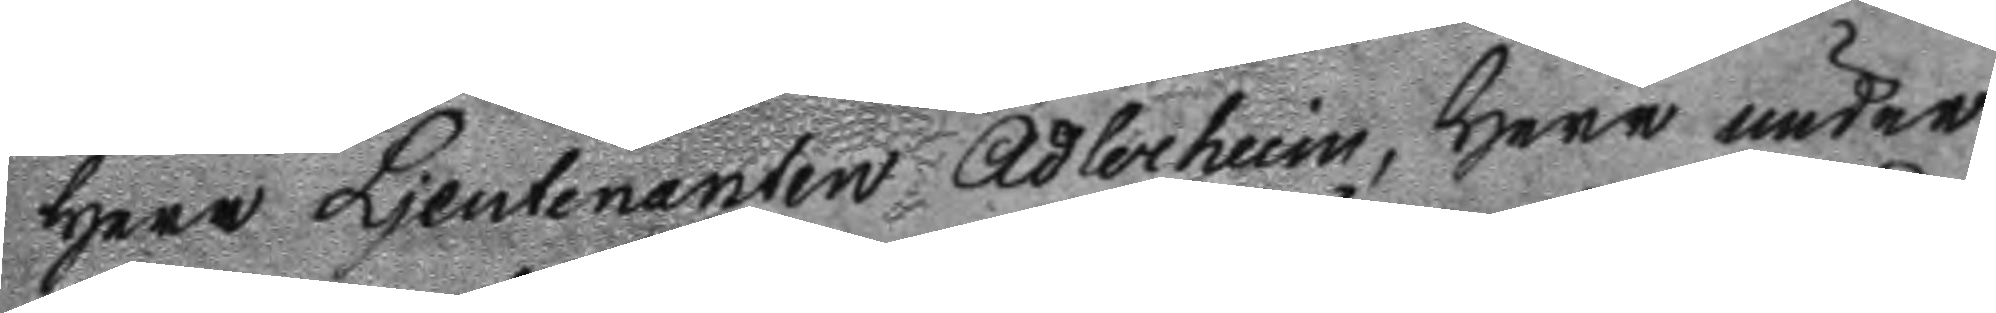Herr Ljeutenanten Adlerheim, Herr under
